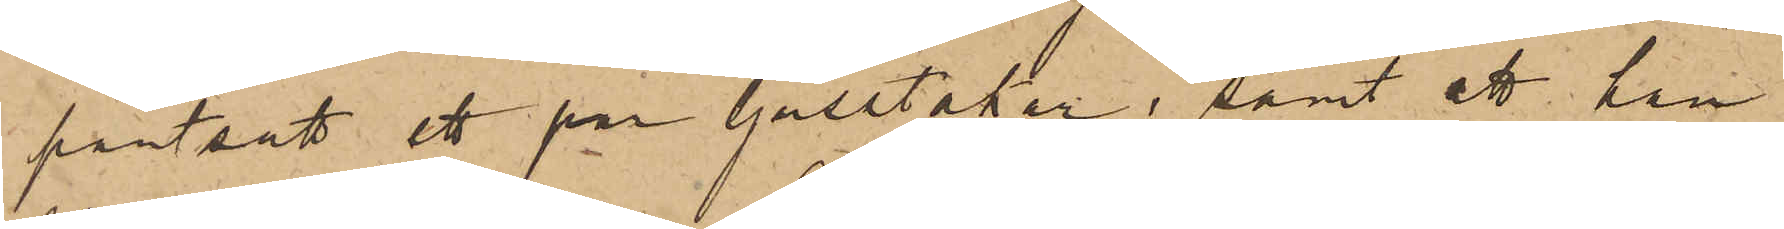pantsatt ett par ljusstakar; samt att han
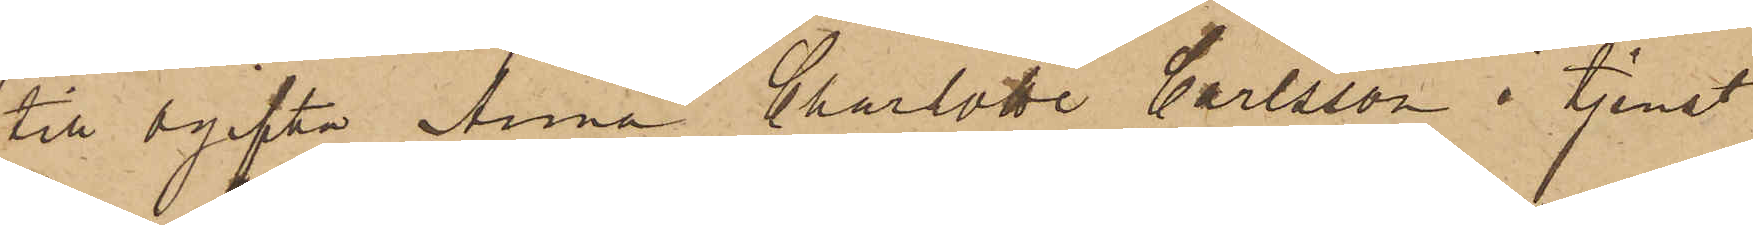till ogifta Anna Charlotte Carlsson i tjenst
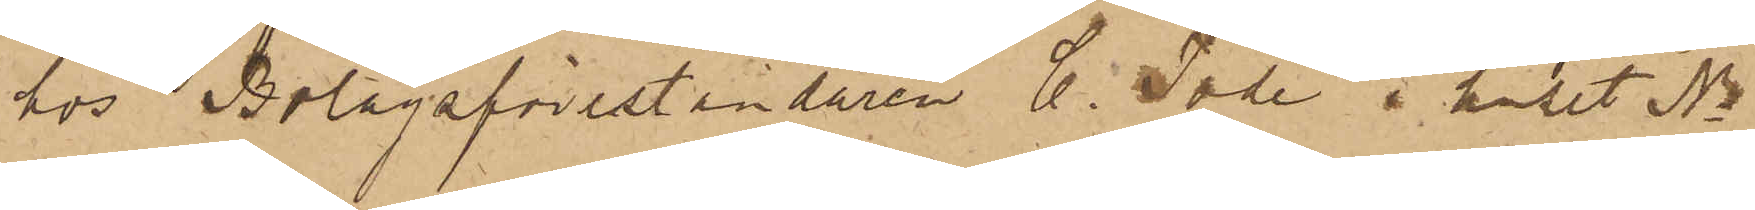hos Bolagsföreståndaren C. Tode i huset No
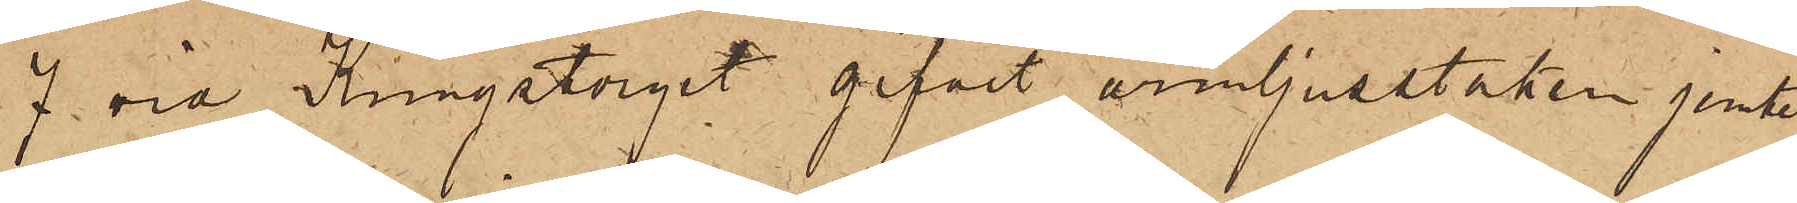7 vid Kungstorget gifvit armljusstaken jemte
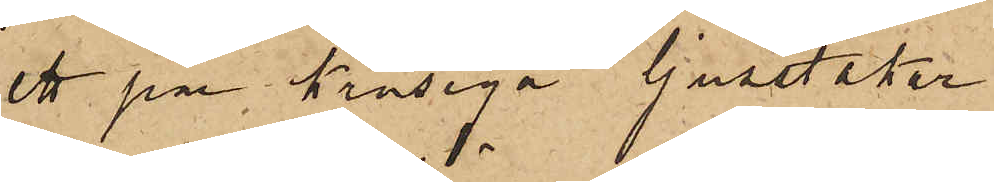ett par krusiga ljusstakar.
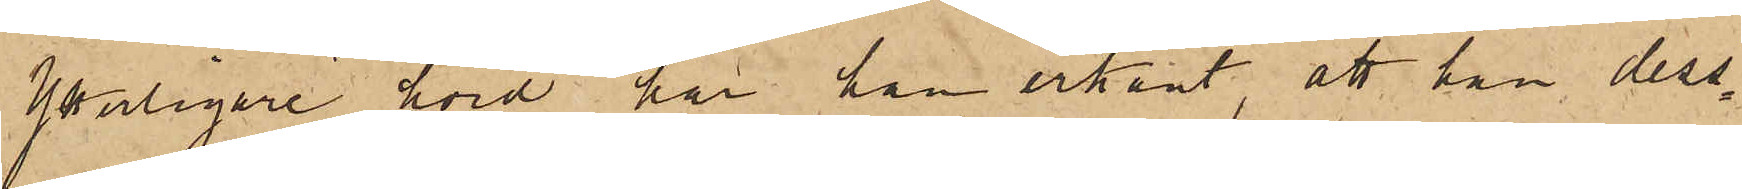Yterligare hörd har han erkänt, att han dess¬
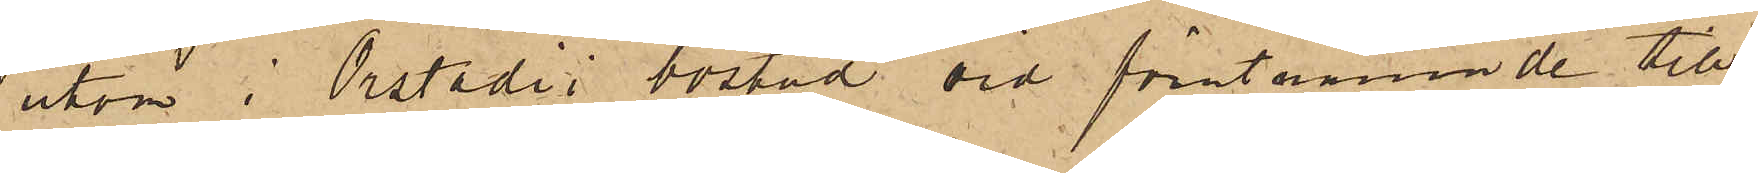utom i Orstadii bostad vid förutnämnde till¬
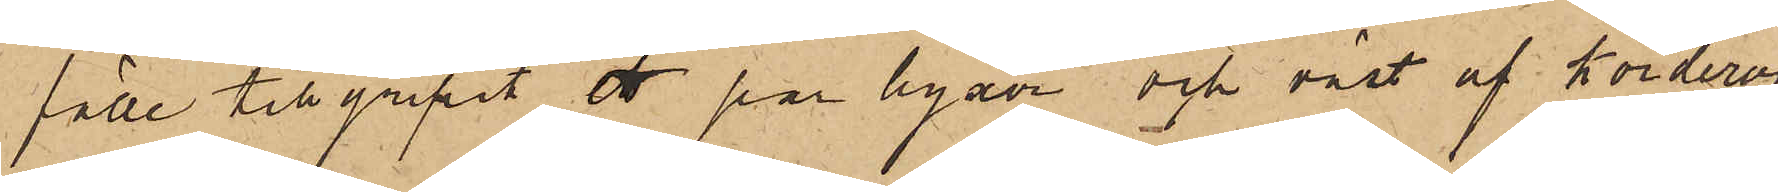fälle tillgripit ett par byxor och väst af korderoj,
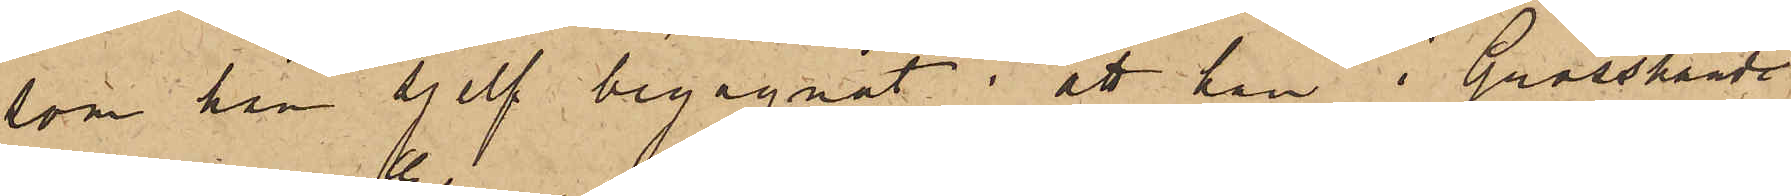som han sjelf begagnat; att han i Grosshand¬
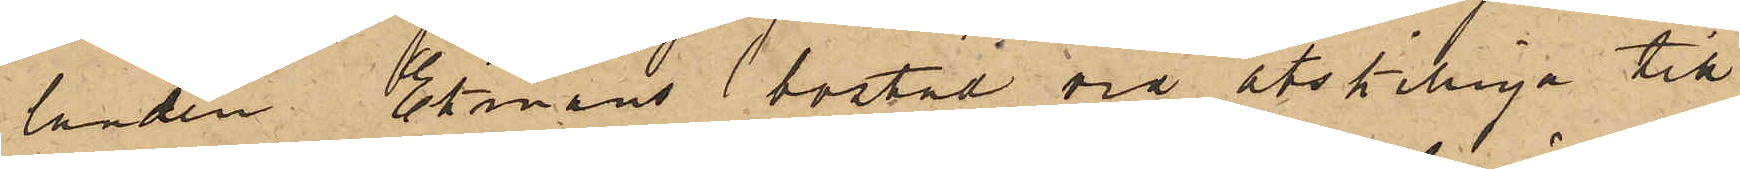landen Ekmans bostad vid åtskilliga till¬
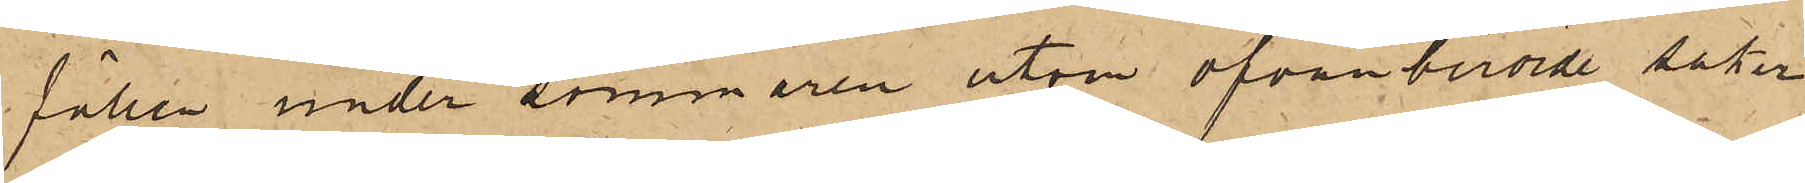fällen under sommaren utom ofvanberörde saker
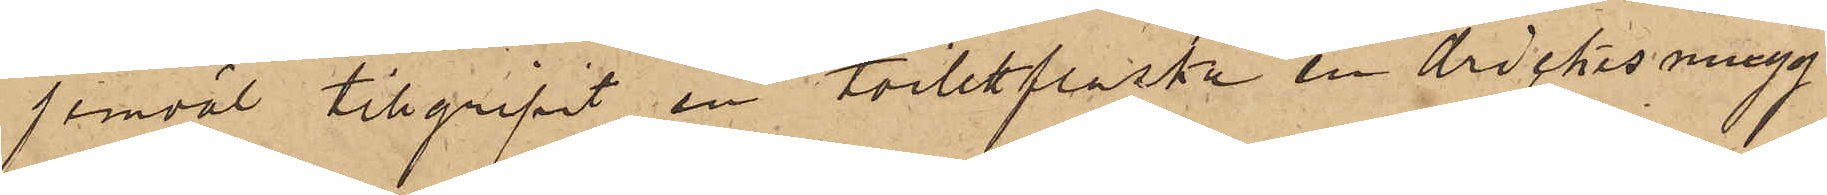jemväl tillgripit en toilettflaska en drickesmugg
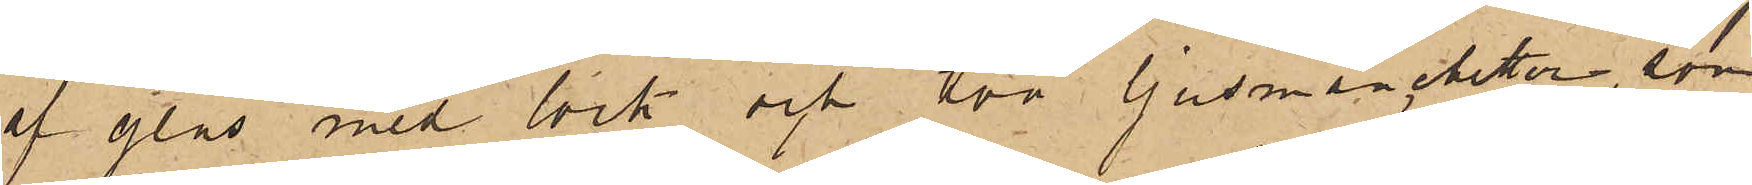af glas med lock och två ljusmanchetter, som
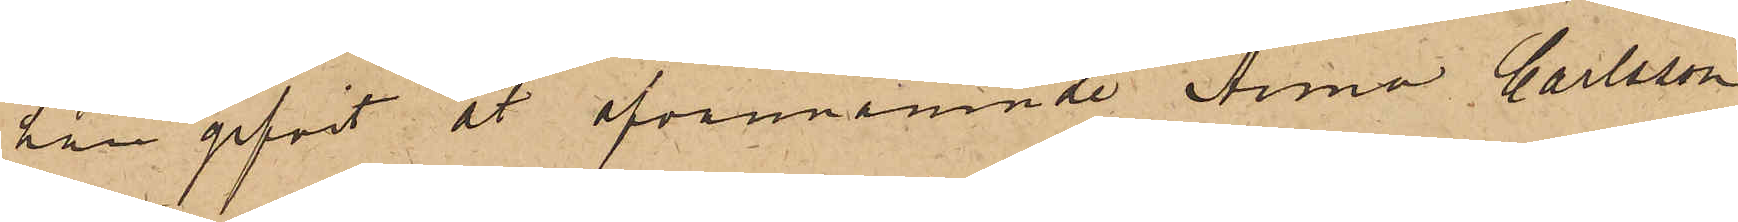han gifvit åt ofvannämnde Anna Carlsson
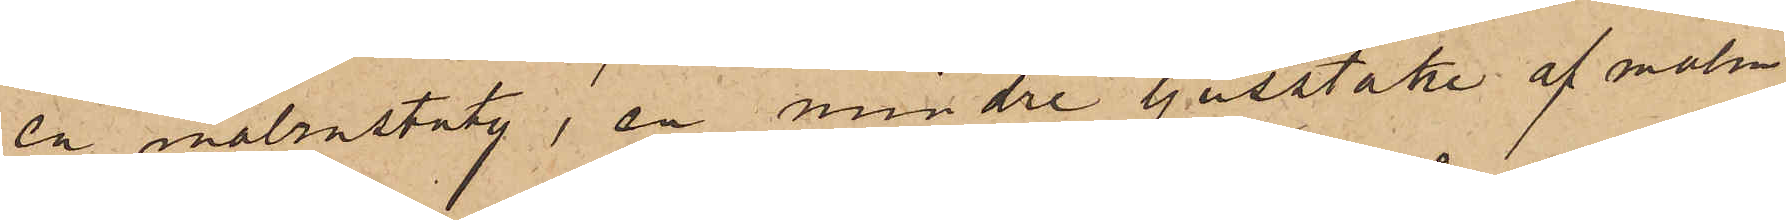en malmstaty, en mindre ljusstake af malm
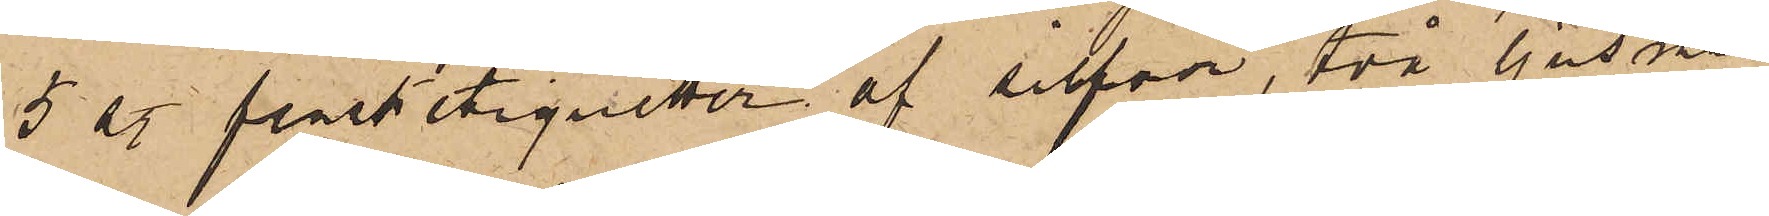5 st. flasketiquetter af silfver, två ljusman¬
